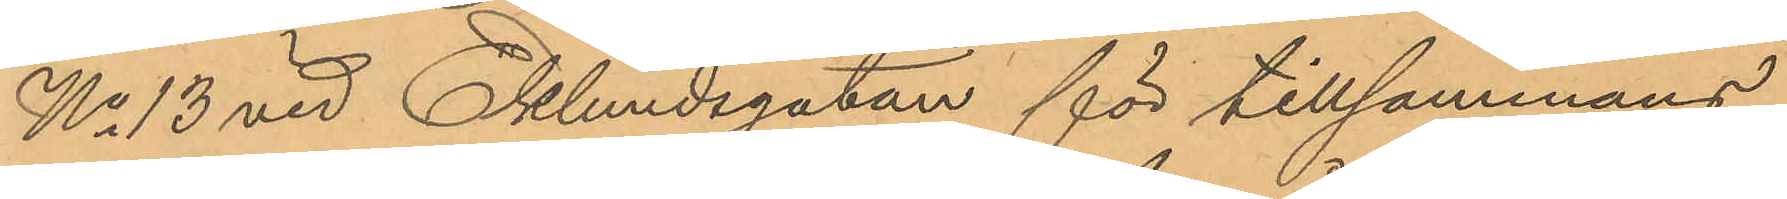No 13 vid Eklundsgatan för tillsammans
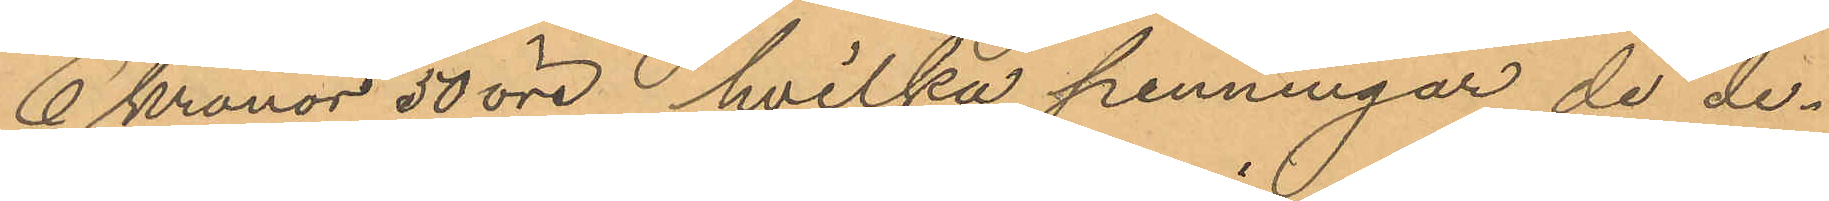6 kronor 50 öre, hvilka penningar de de¬
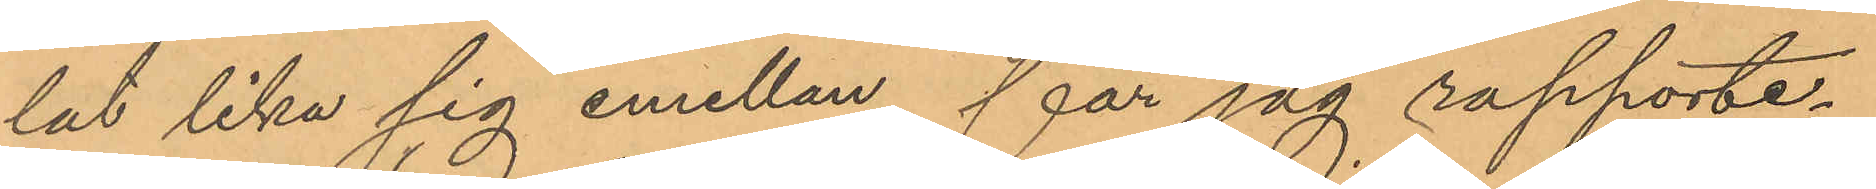lat lika sig emellan, får jag rapporte¬
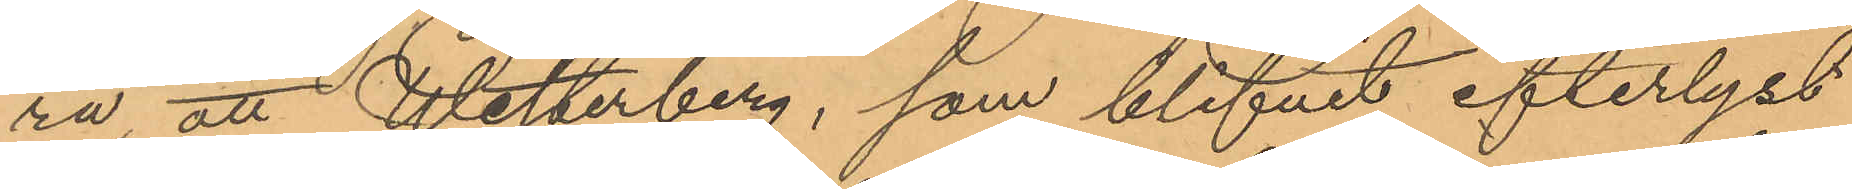ra, att Westerberg, som blifvit efterlyst
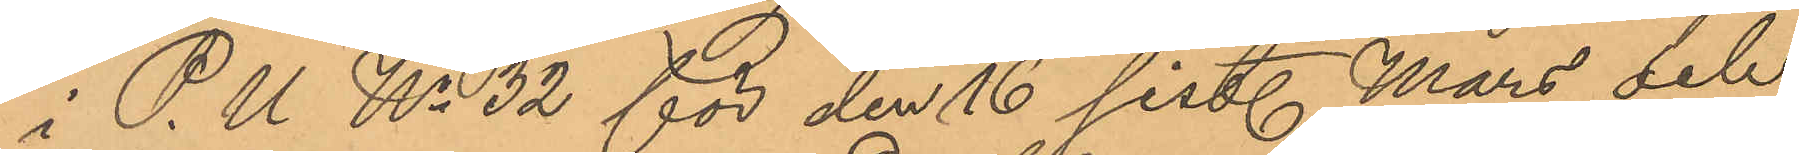i P. U  No 32 för den 16 sist. Mars och
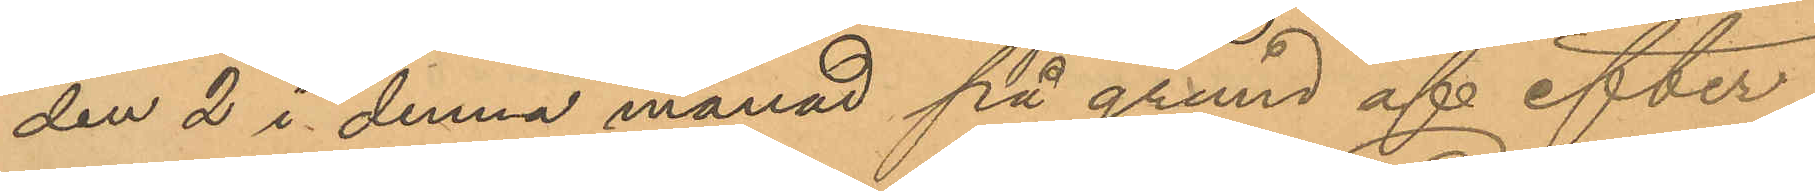den 2 i denna månad på grund af efter¬
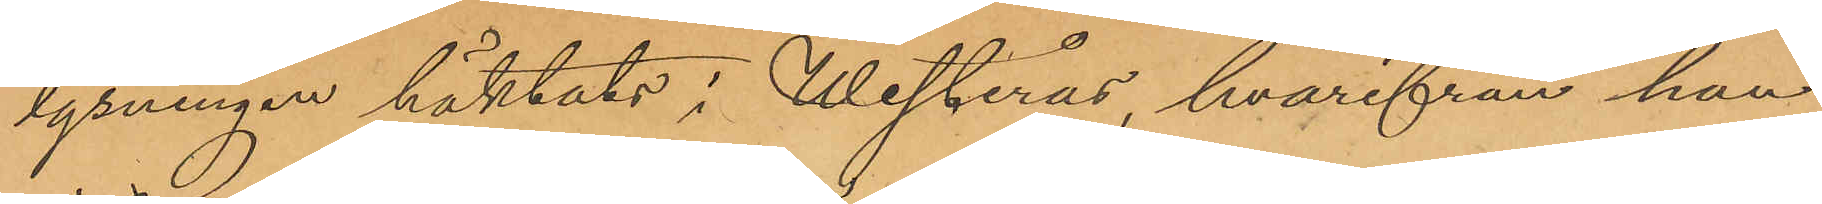lysningen häktats i Westerås, hvarifrån han
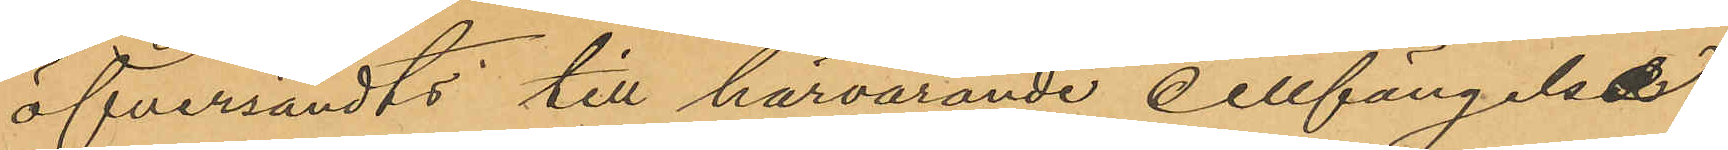öfversändts till härvarande cellfängelse,
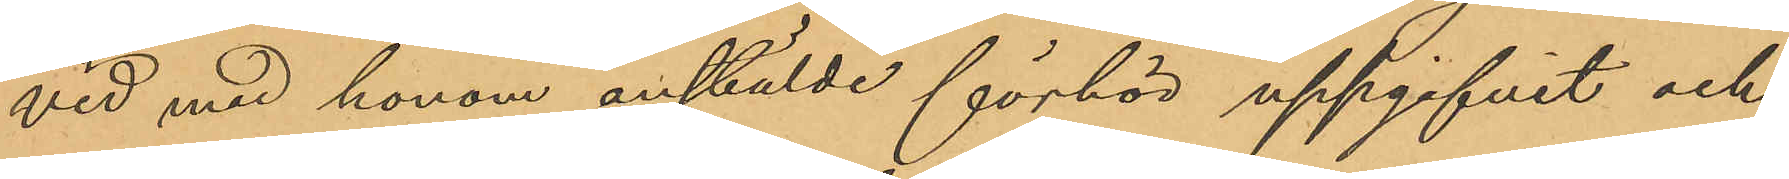vid med honom anstälde förhör uppgifvit och
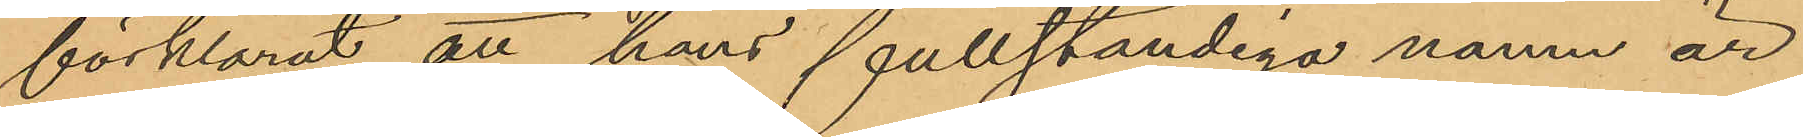förklarat, att hans fullständiga namn är
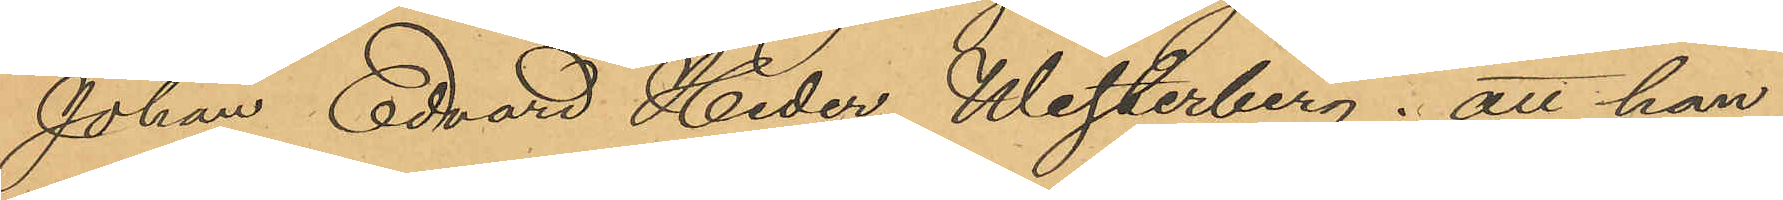Johan Edvard Heder Westerberg; att han
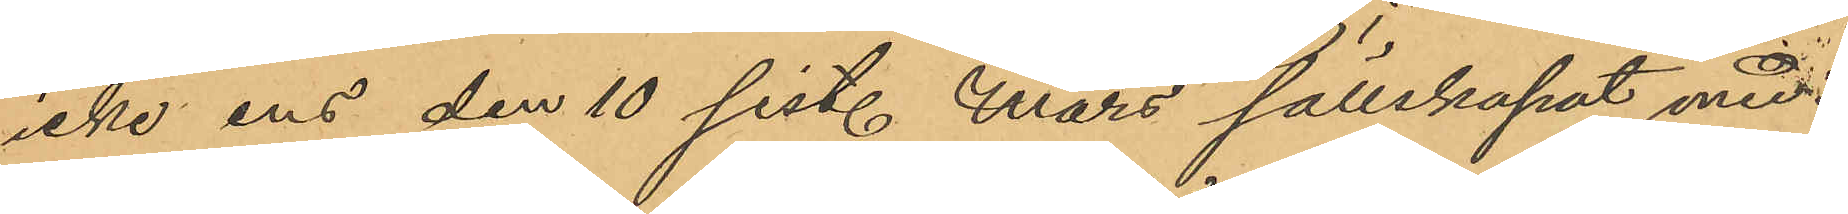icke ens den 10 sist. Mars sällskapat med
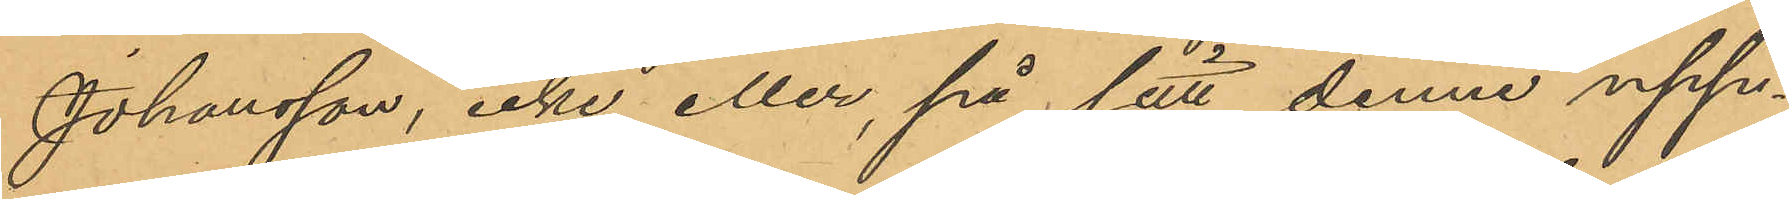Johansson, icke eller, på sätt denne upp¬
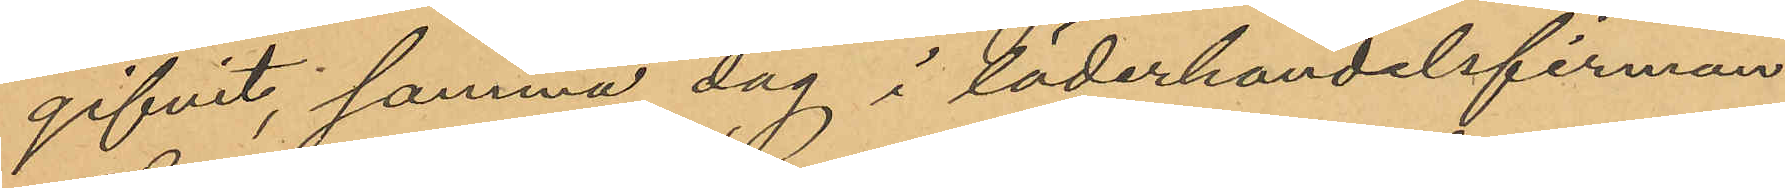gifvit, samma dag i läderhandelsfirman
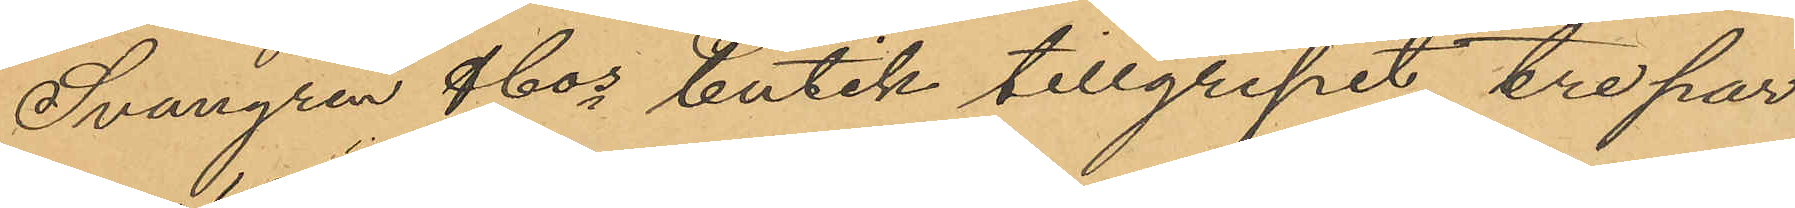Svangren & Cos butik tillgripit tre par
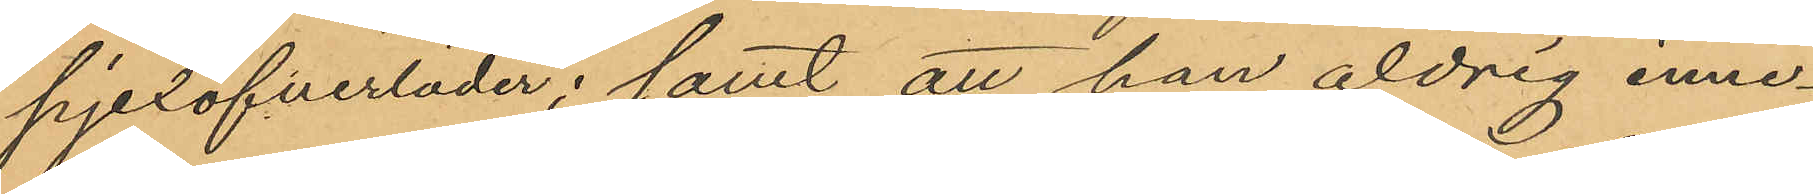pjexöfverläder; samt att han aldrig inne¬
